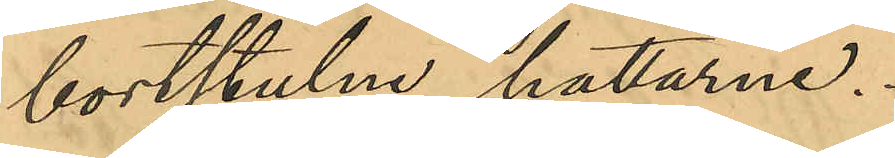bortstulne hattarna.
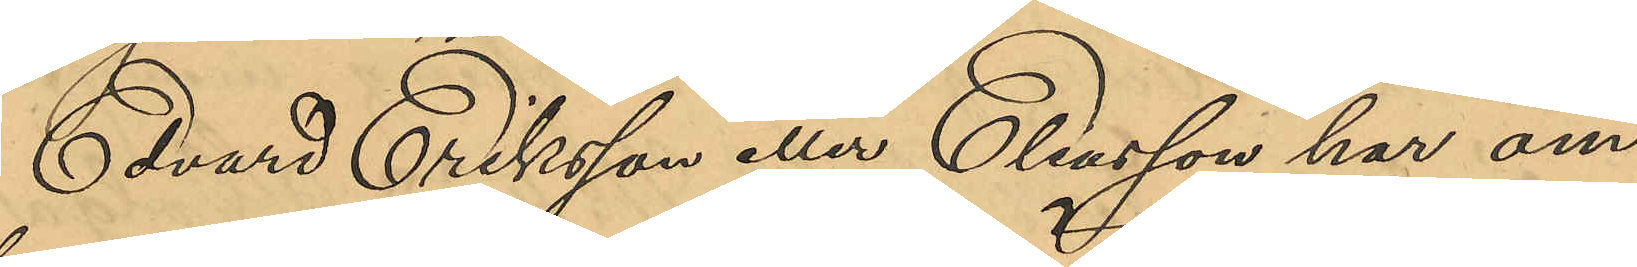Edvard Eriksson eller Eliasson har om
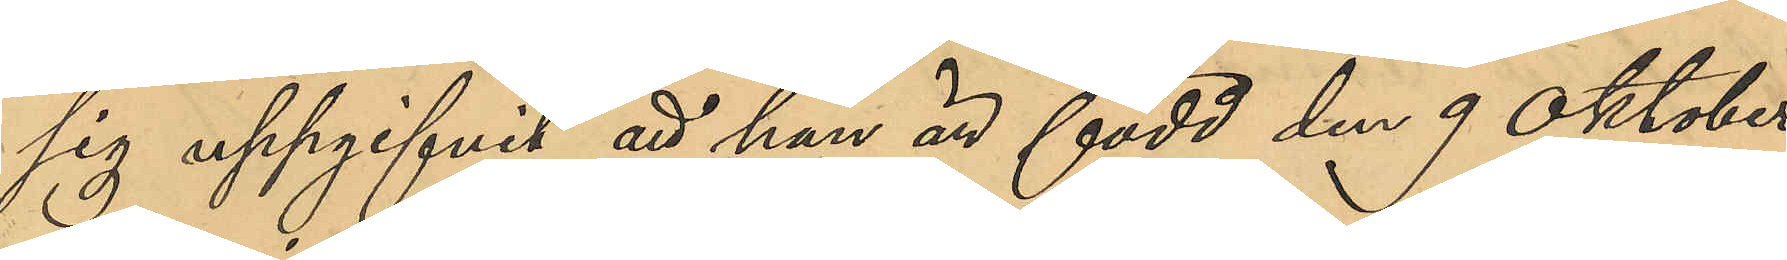sig uppgifvit att han är född den 9 Oktober
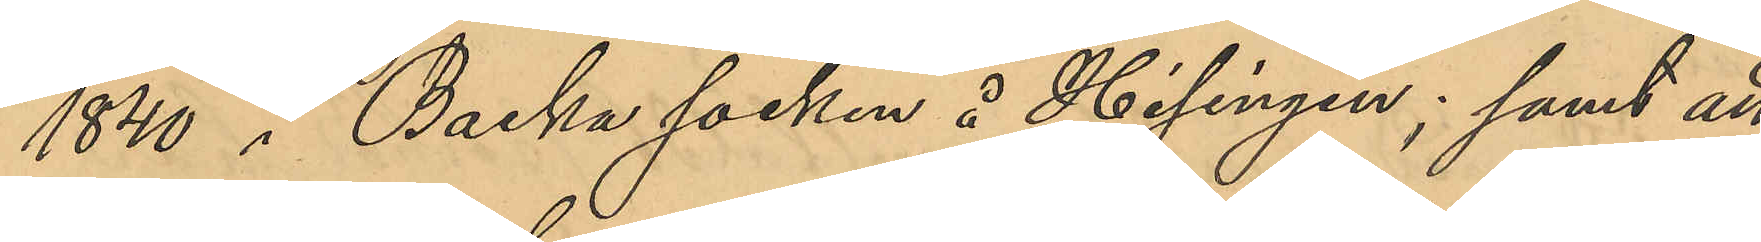1840 i Backa socken å Hisingen; samt att
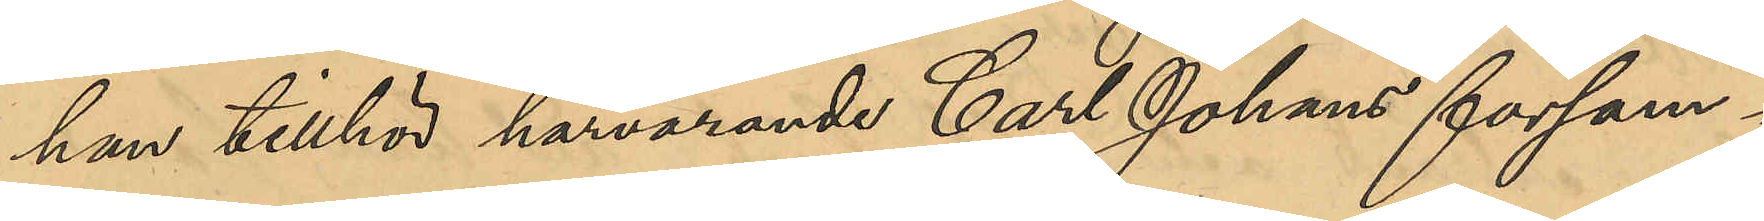han tillhör harvarande Carl Johans försam¬
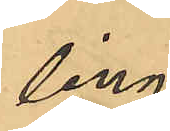ling.
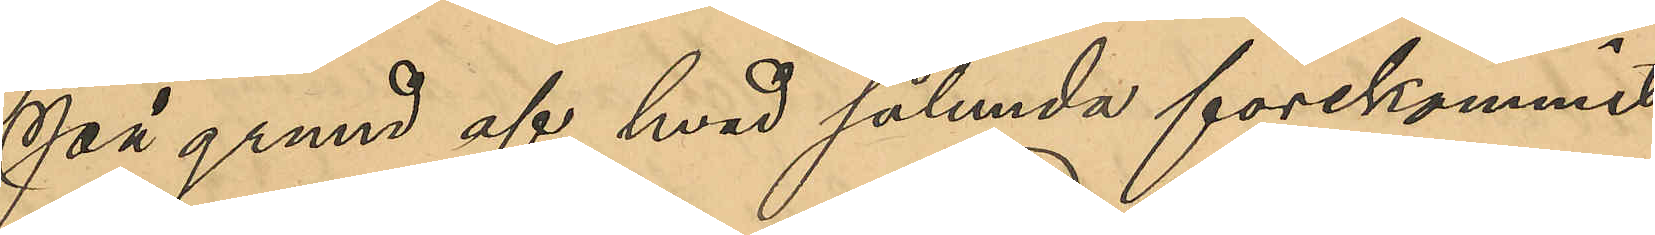På grund af hvad sålunda förekommit
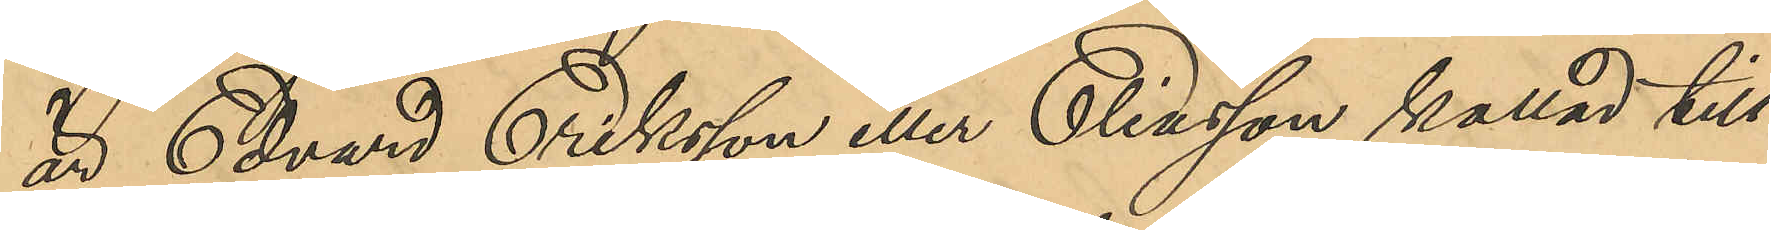är Edvard Eriksson eller Eliasson kallad till
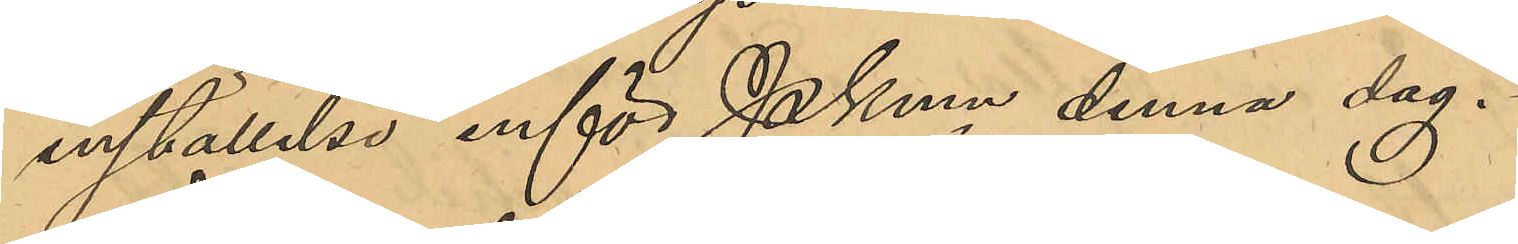inställelse inför PKmn denna dag.
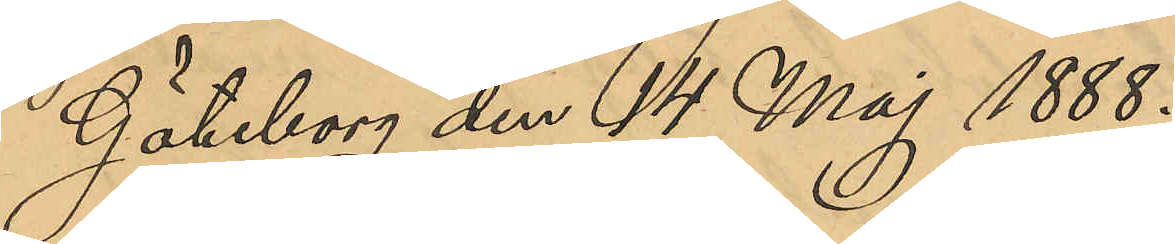Göteborg den 14 Maj 1888.
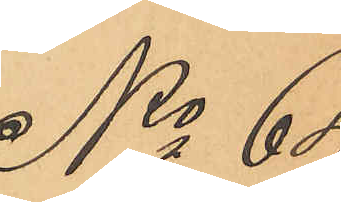No 64
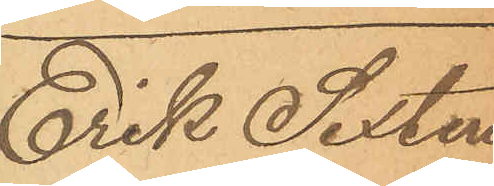Erik Sixten
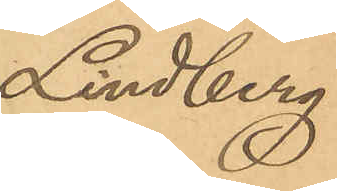Lindberg.
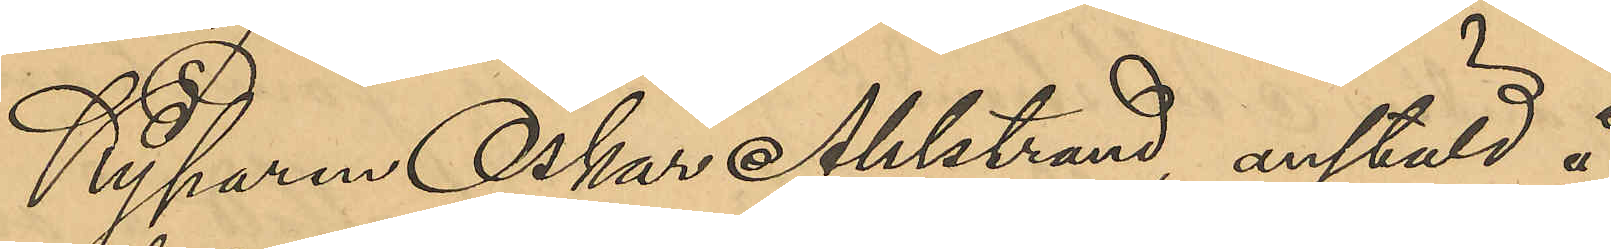Kyparen Oskar Ahlstrand, anstäld å
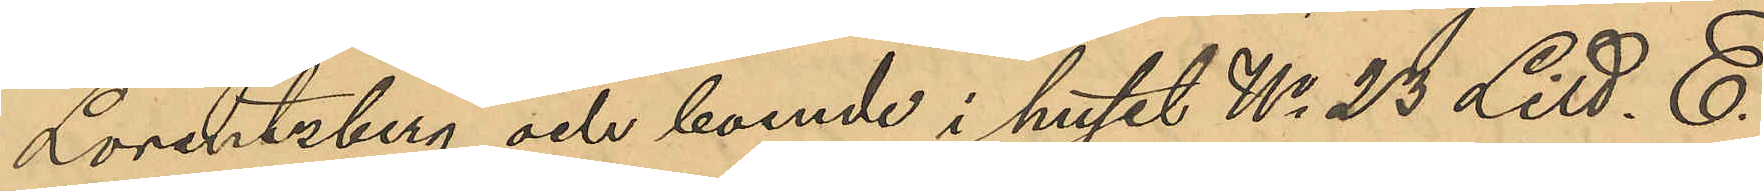Lorentzberg och boende i huset No 23 Litt. E
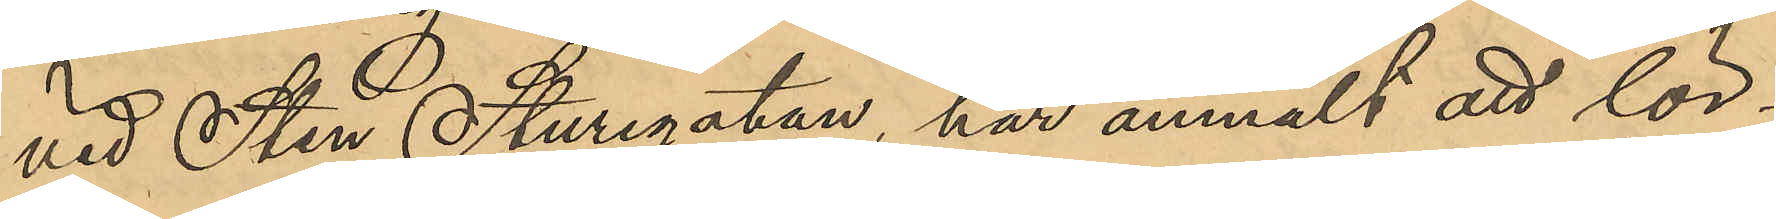vid Sten Sturegatan, har anmält att lör¬
